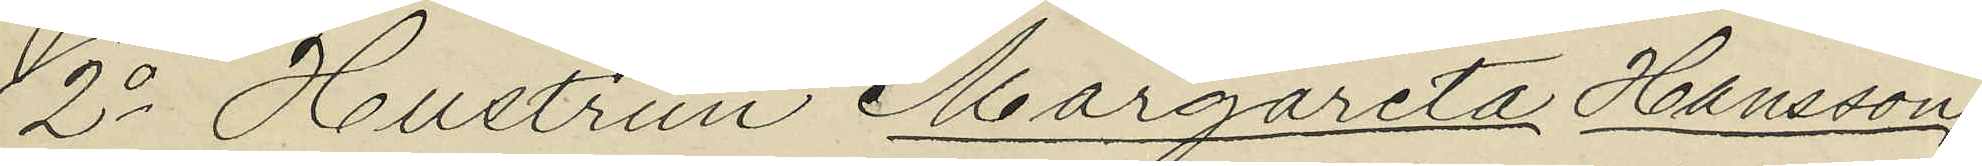2o Hustrun Margareta Hansson,
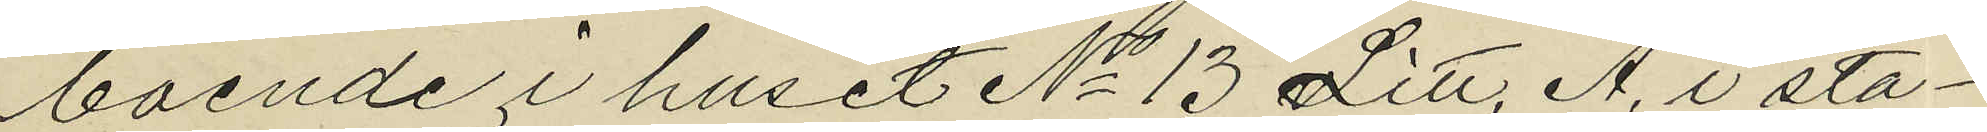boende i huset No 13 Litt. A. i sta¬
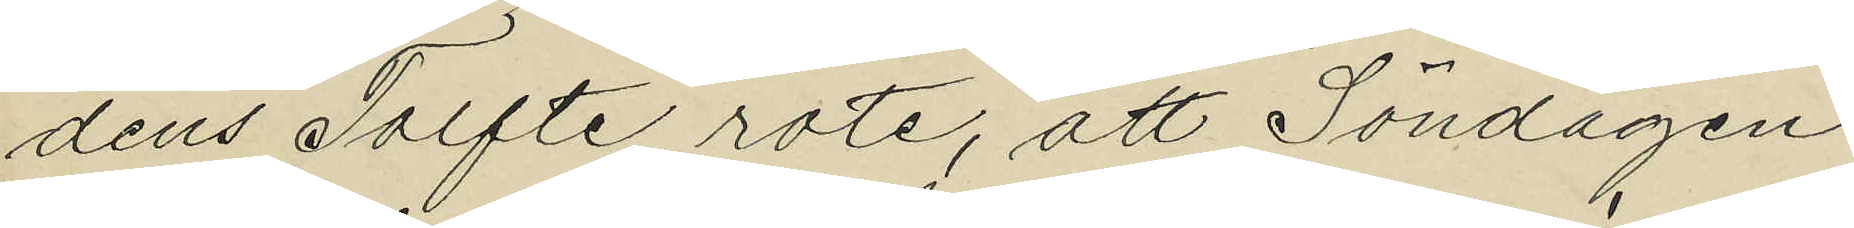dens Tolfte rote, att Söndagen
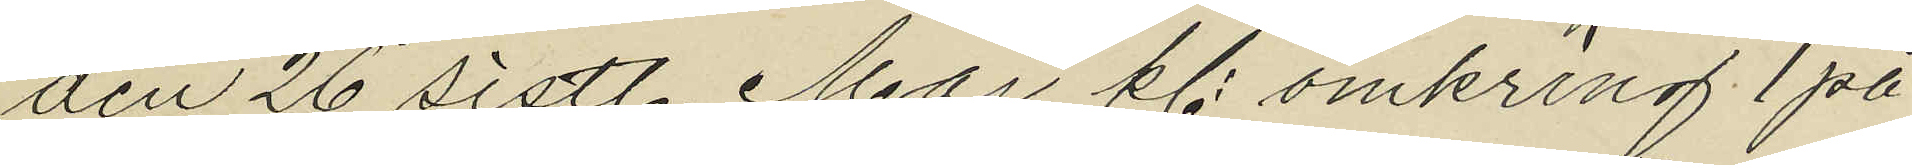den 26 sistl. Maj kl. omkring 1 på
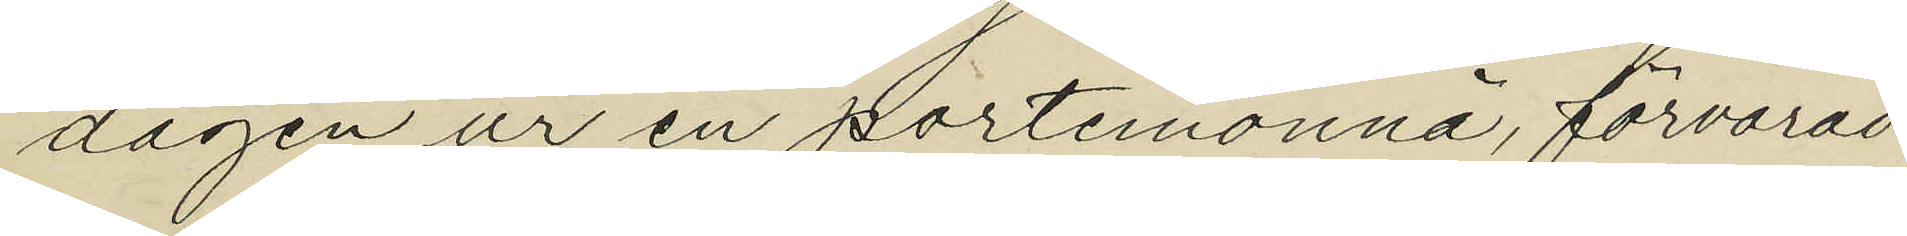dagen ur en portemonnä, förvarad
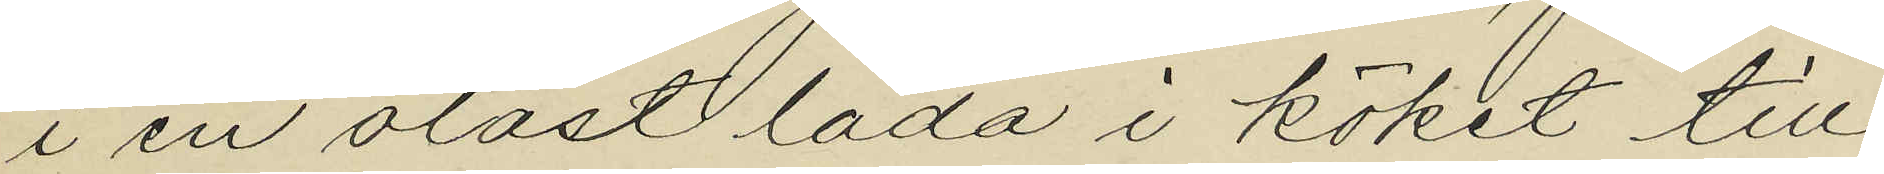i en olåst låda i köket till
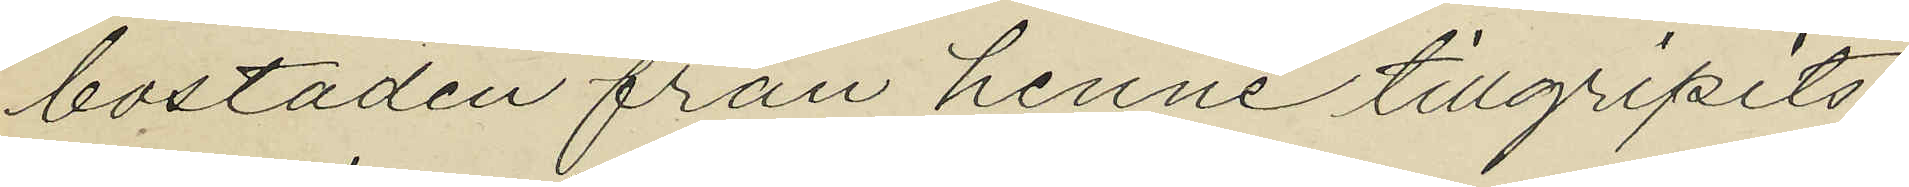bostaden från henne tillgripits
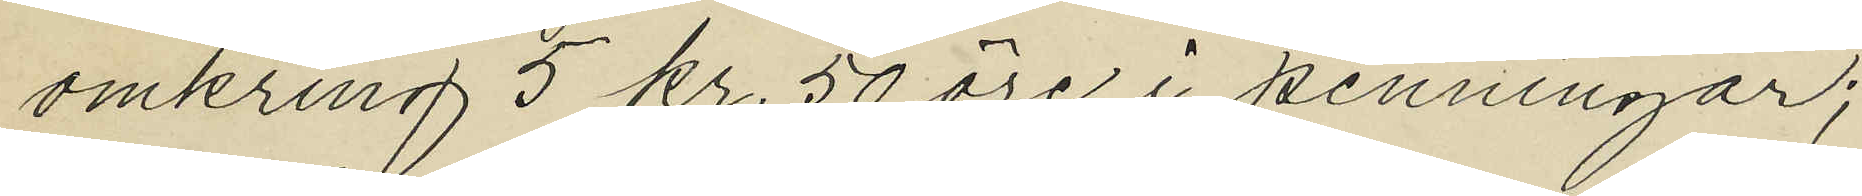omkring 5 kr. 50 öre i penningar;
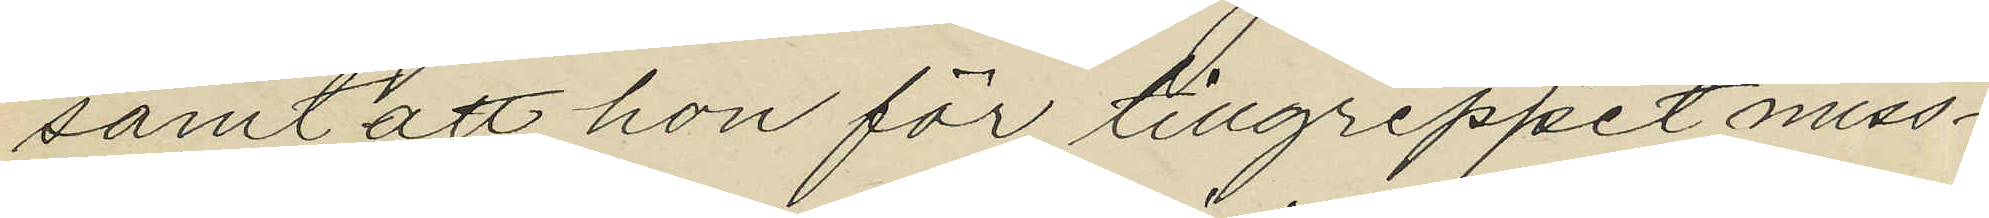samt att hon för tillgreppet miss¬
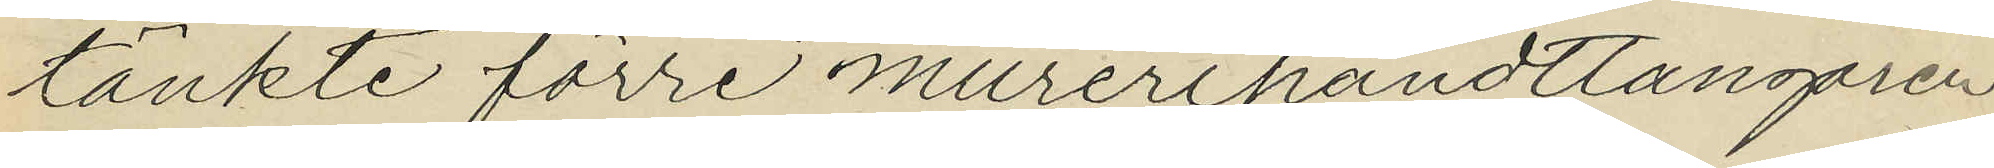tänkte förre murerihandtlangaren
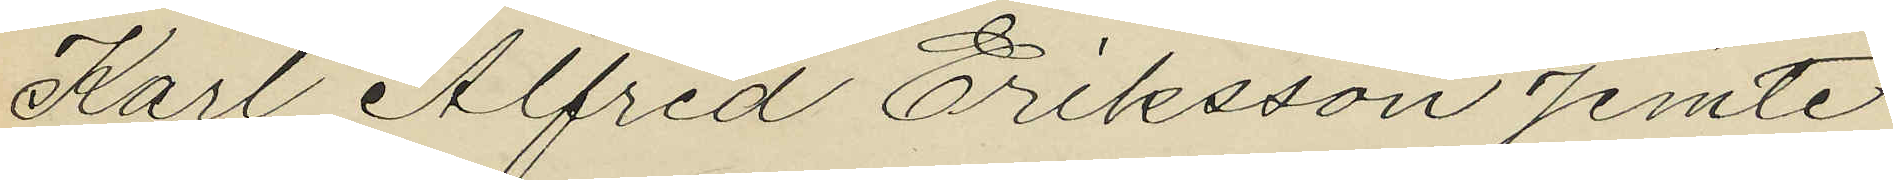Karl Alfred Eriksson jemte
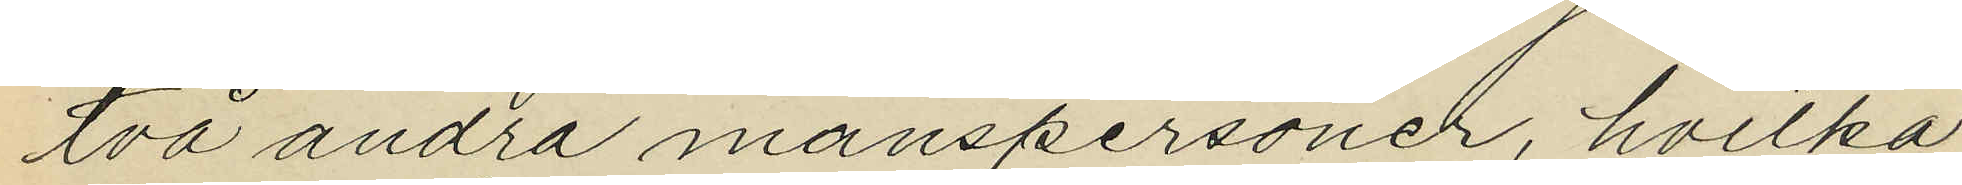två andra manspersoner, hvilka
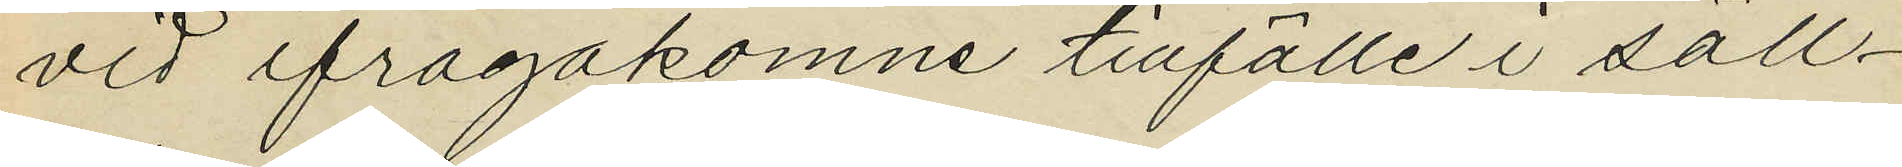vid ifrågakomne tillfälle i säll¬
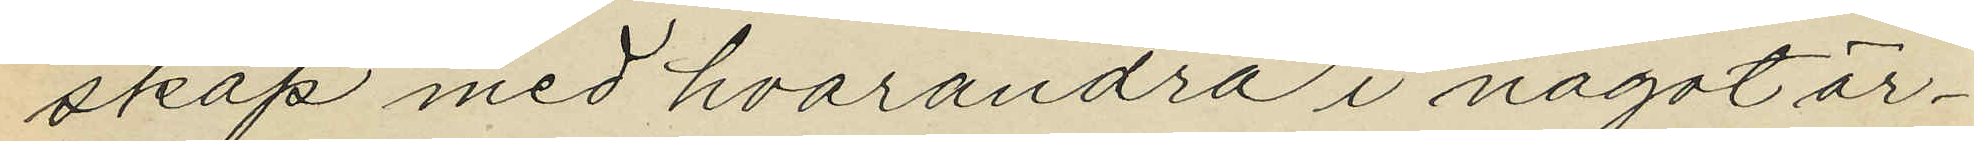skap med hvarandra i något är¬
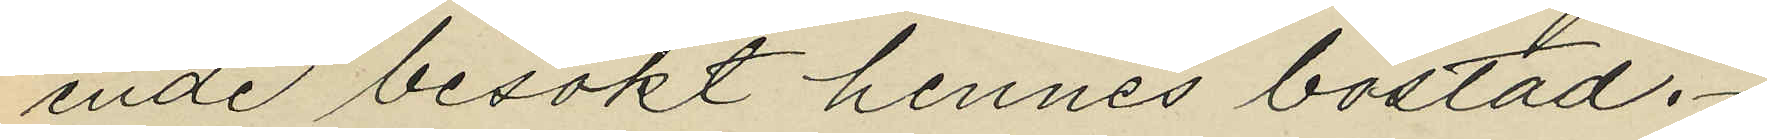ende besökt hennes bostad.
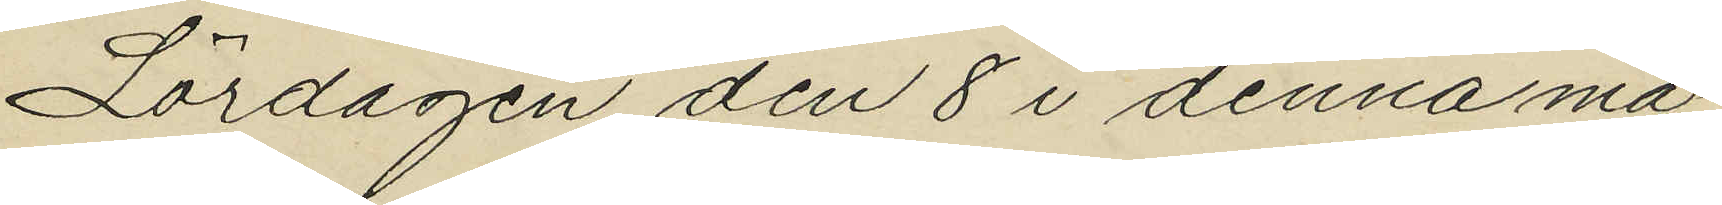Lördagen den 8 i denna må¬
